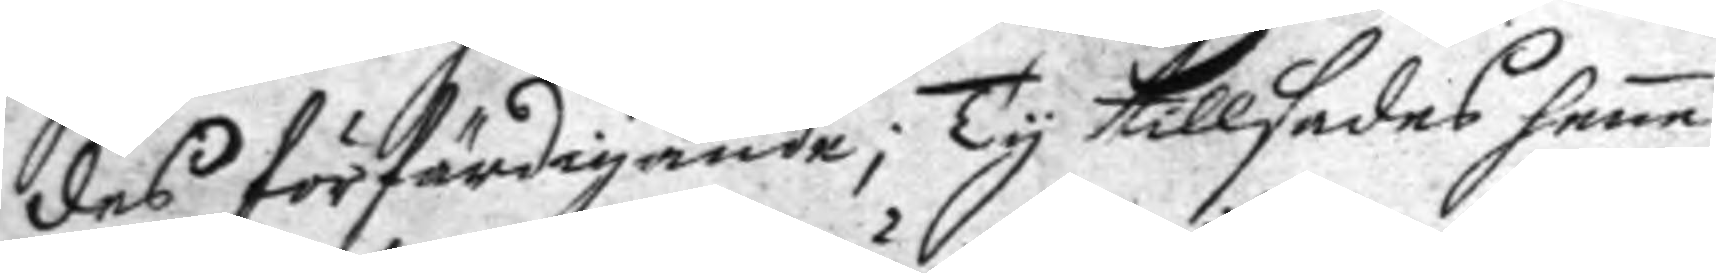des förfärdigande; Ty tillsades sama
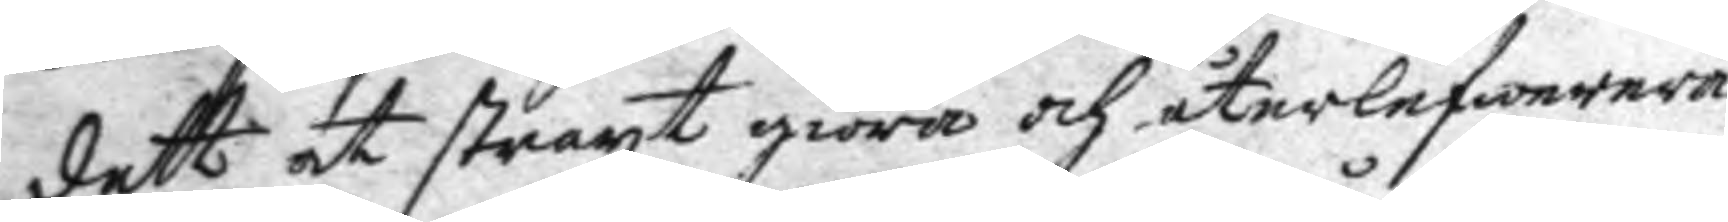dett at straxt giöra och återlefwerera
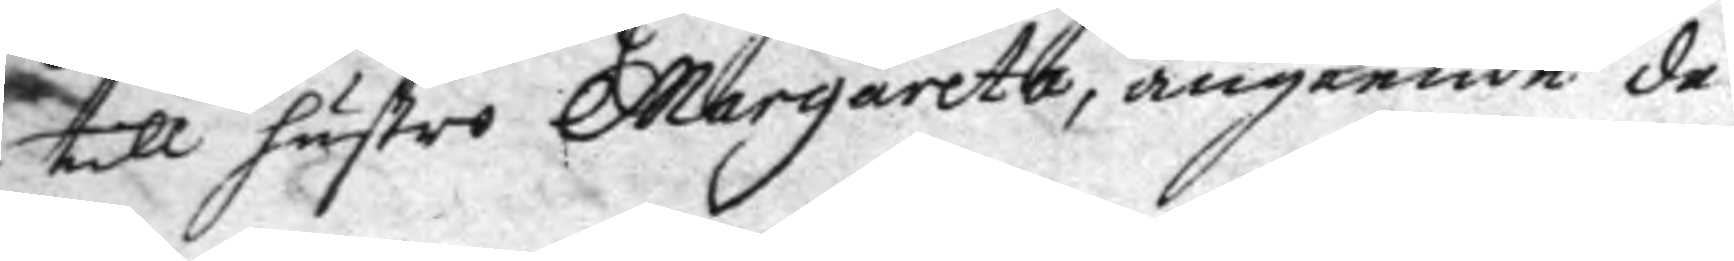till hustro Margareta, angående de
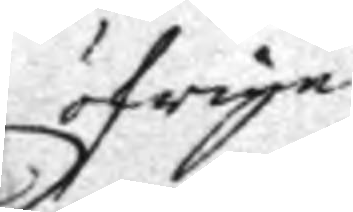öfrige
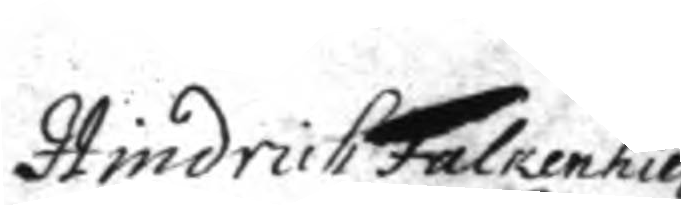Hindrich Falkenhielm
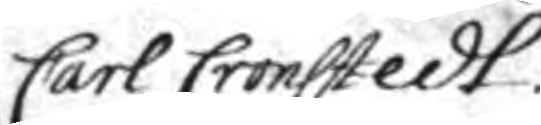Carl Cronstedt.
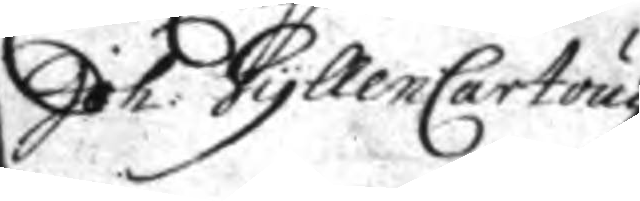Joh: GyllenCartoug
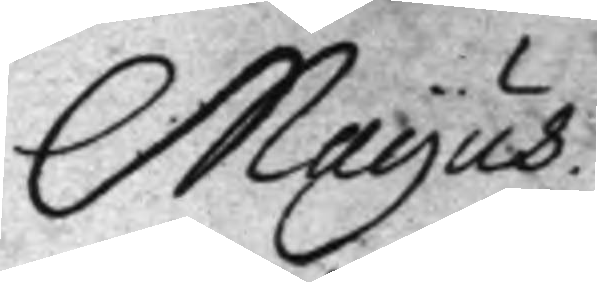Mayus.
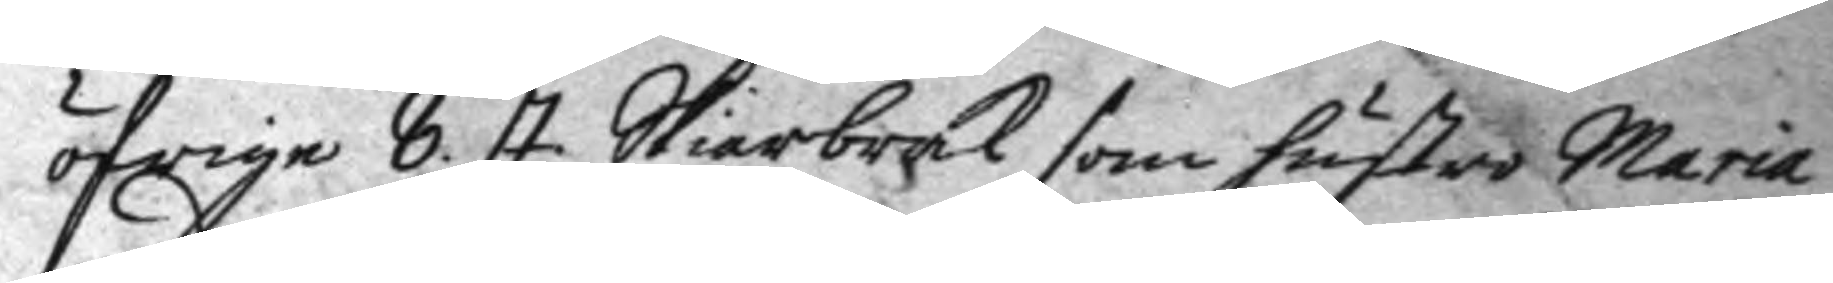öfrige 8. st. Skärbrak som hustro Maria
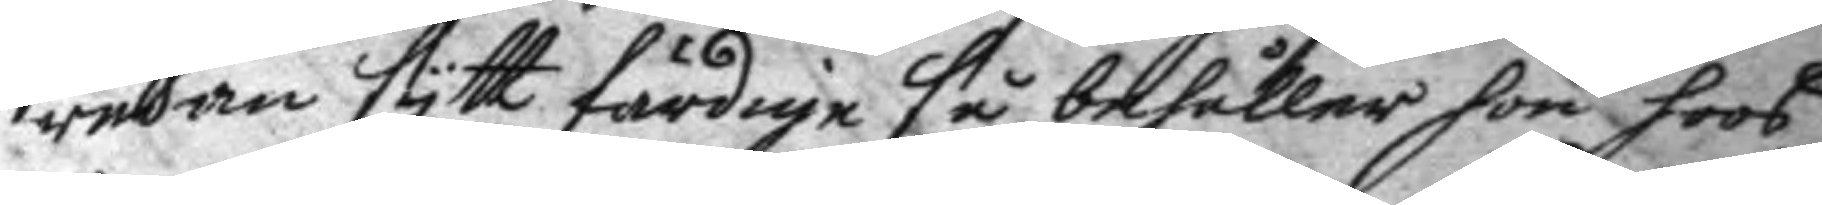redan sytt färdige så behåller hon hoos
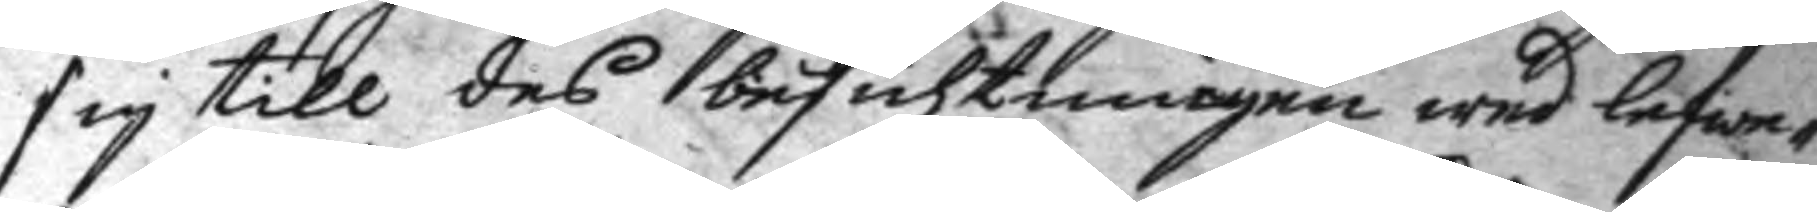sig till des besichtningen wed lefwe¬
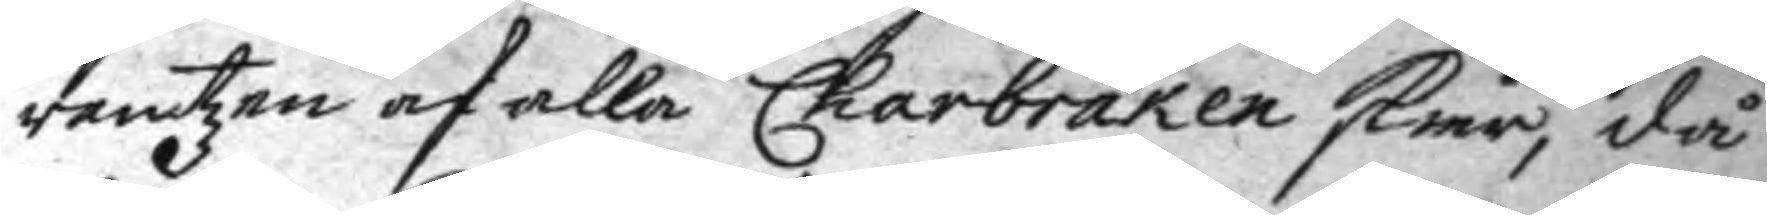rantzen af alla Charbraken skier, då
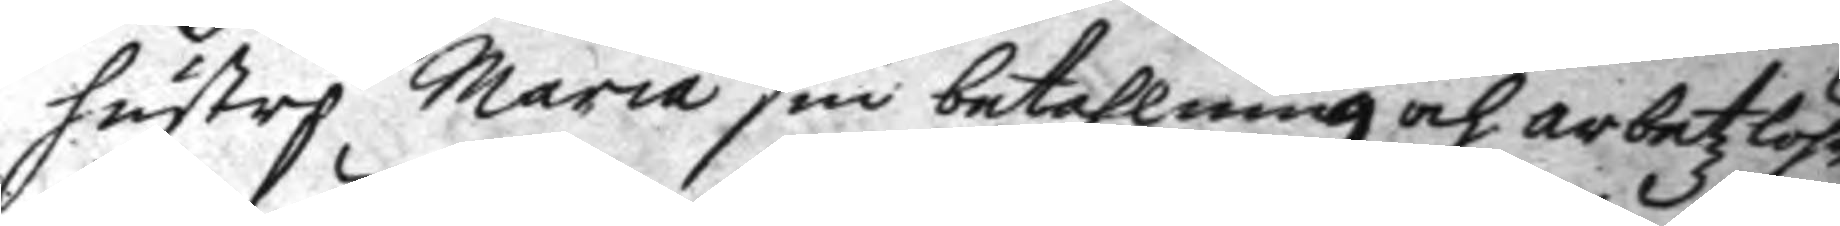hustro Maria sin betahlning och arbetzlöhn
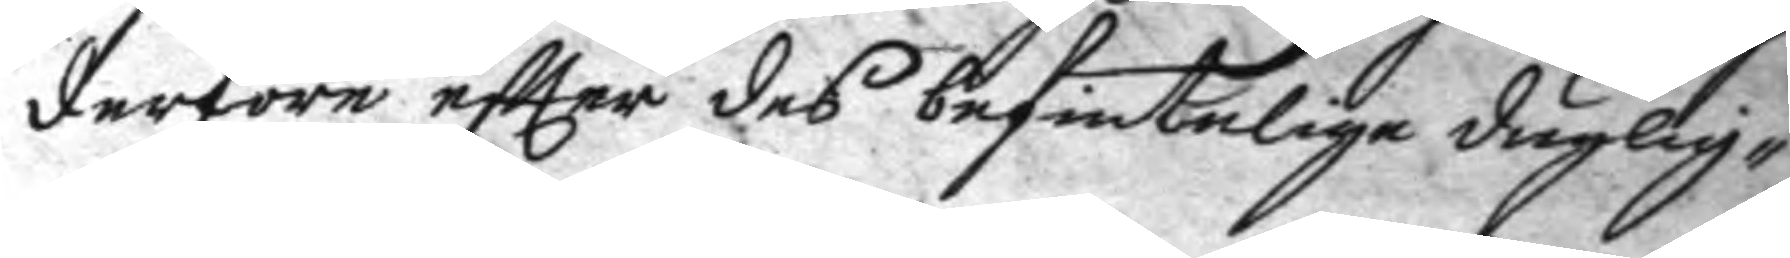derföre eftter des befintelige duglig¬
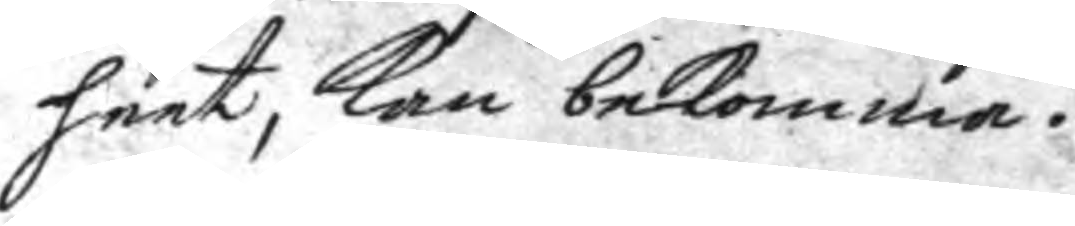heet, kan bekomma.
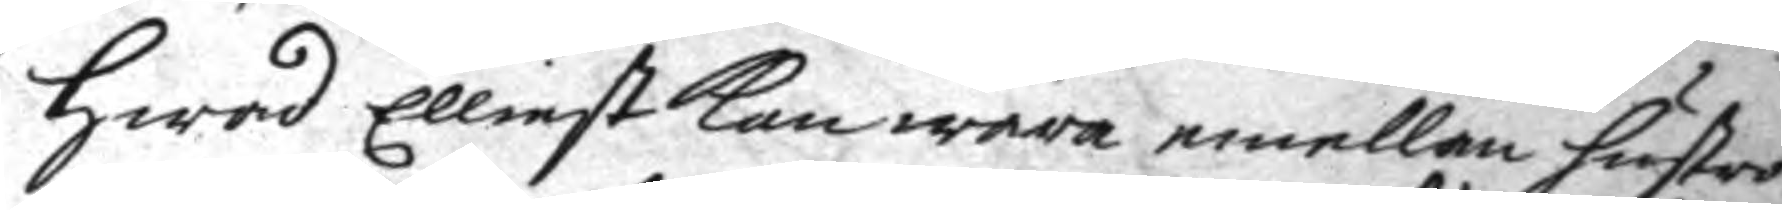hwad Elliest kan wara emellan hustro
